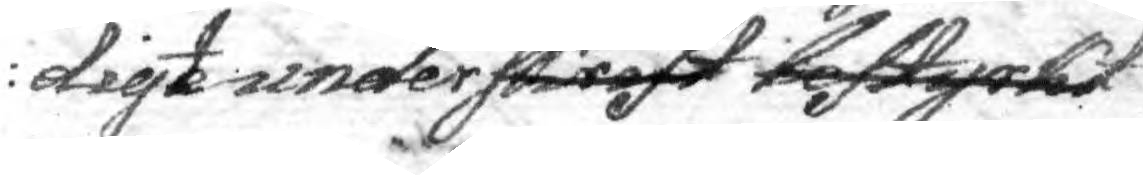digit underskrifttecknad bestrykt
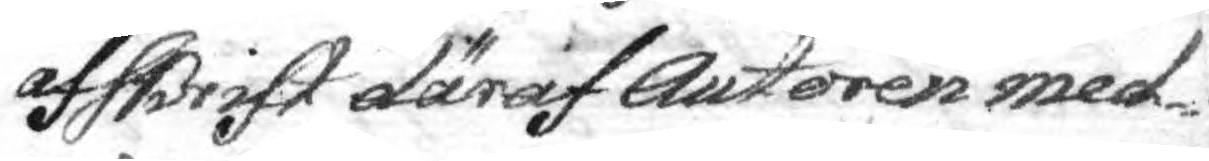afskrift däraf Autoren med¬
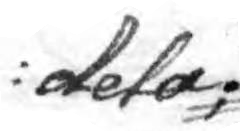dela
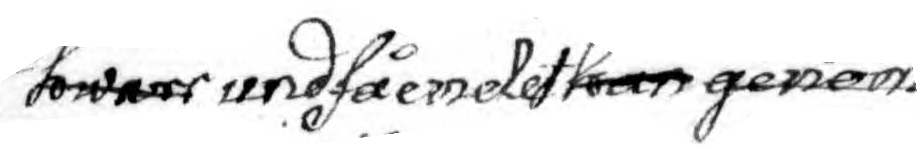som hwar undfåendet han genom
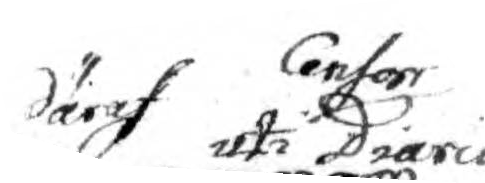däraf uti Censor Dar t . Drario
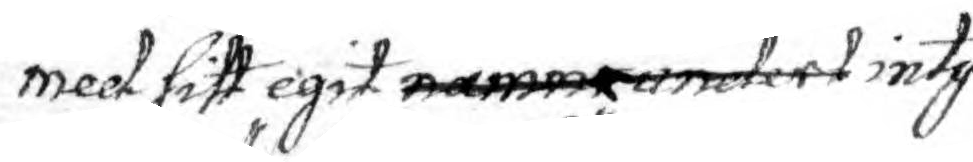med sitt eget namnundert intyg¬
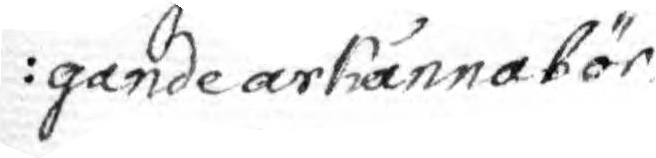gande ärkänna bör
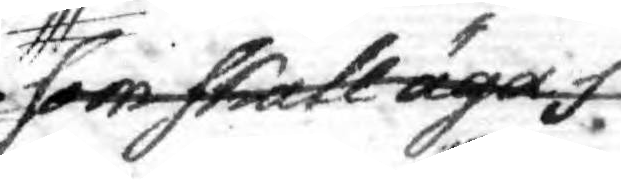som skall säga f
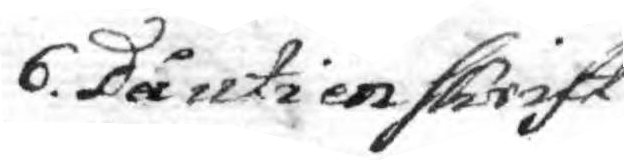6. Då uti en skrift
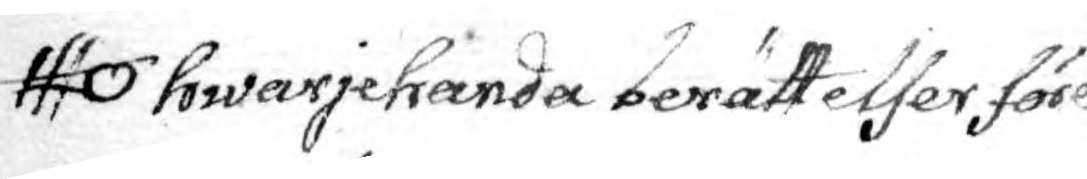hwarjehanda berättelser före¬
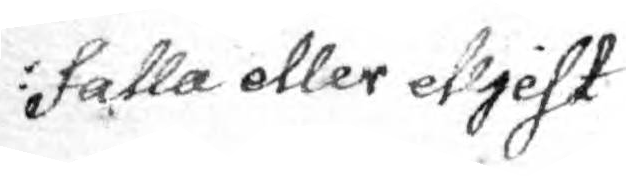falla eller elljest
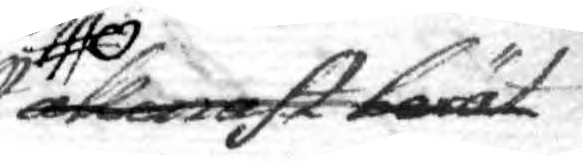allenast berät¬
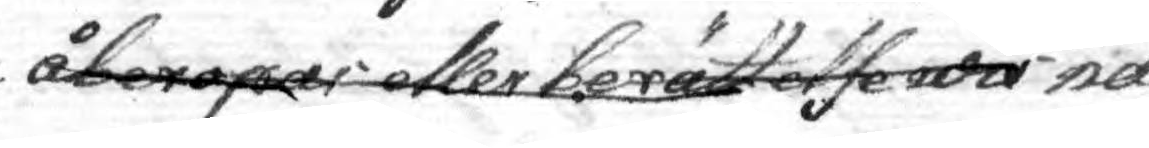åberipar eller berättelse wi nå¬
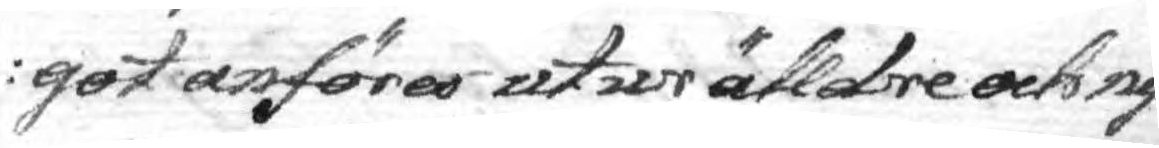got anföres utur älldre och ny¬
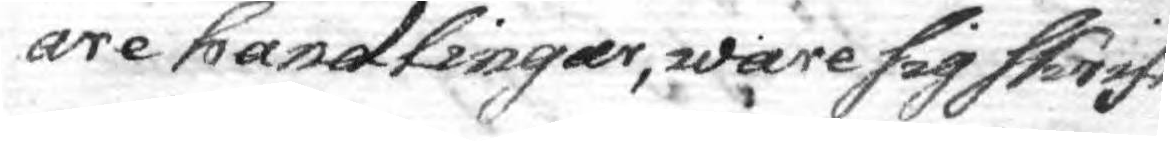are handlingar, ware sig skrift¬
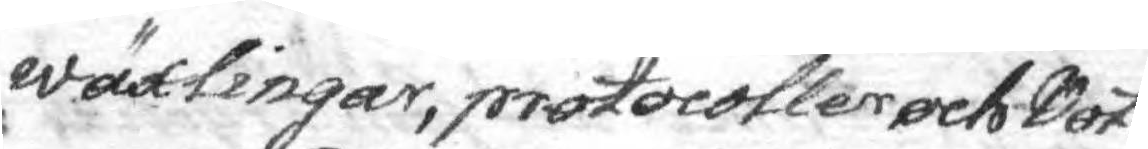wäxlingar, protocoller och Note¬
